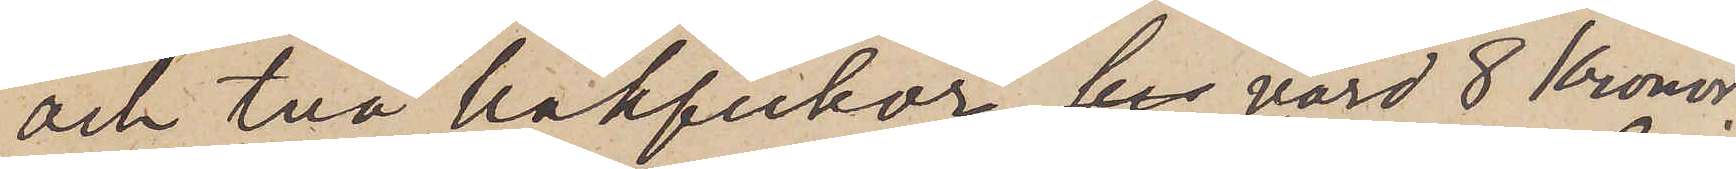och två bakfickor,  värd 8 Kronor.
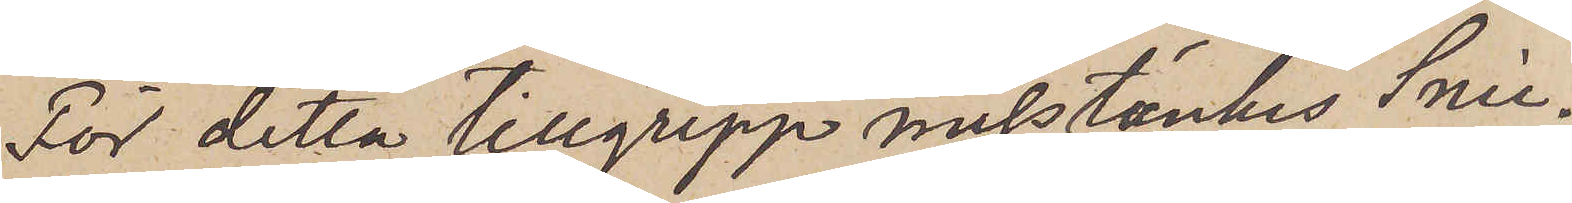För detta tillgrepp misstänkes Snic¬
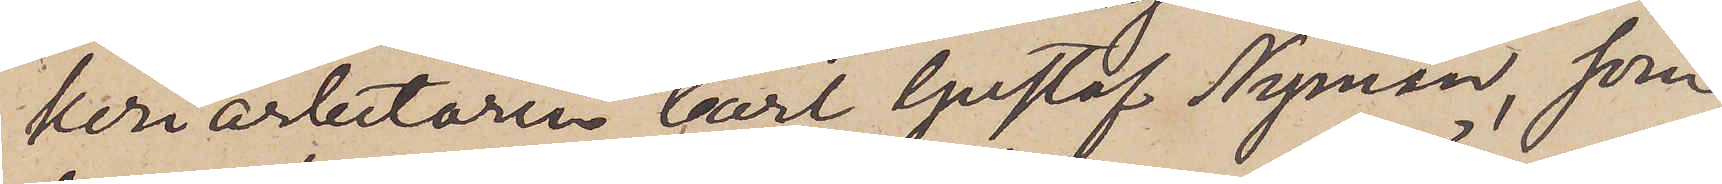keriarbetaren Carl Gustaf Nyman, som
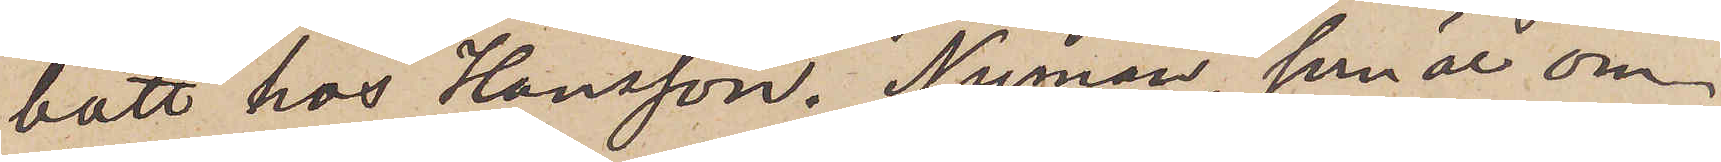bott hos Hansson. Nyman, som är om¬
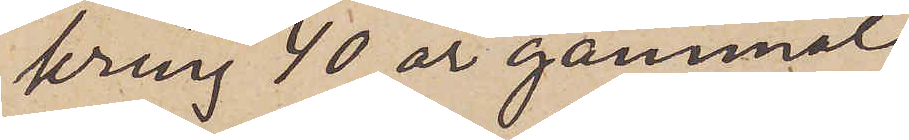kring 40 år gammal
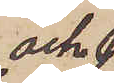och
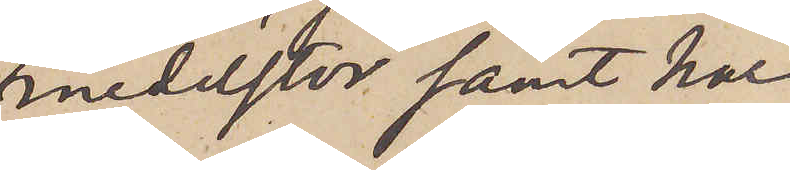medelstor samt har
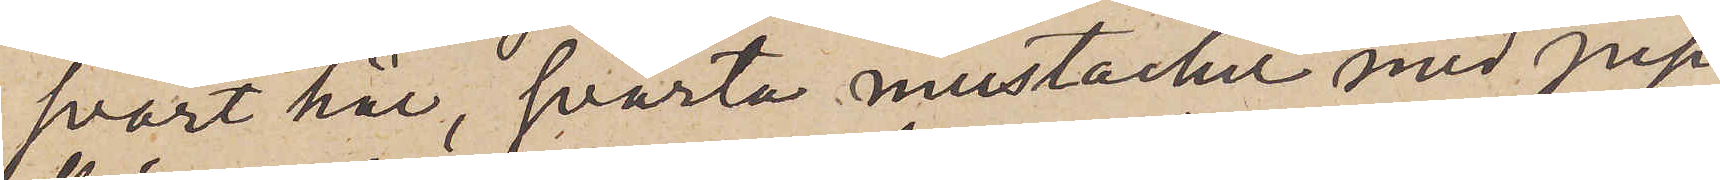svart hår, svarta mustacher med pip¬
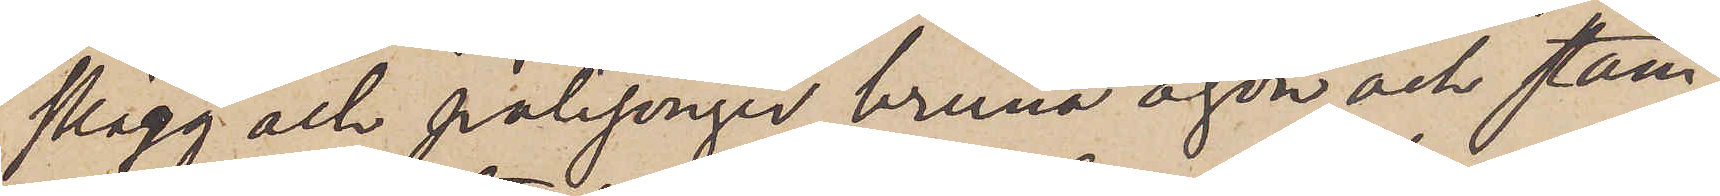skägg och polisonger, bruna ögon och stam¬
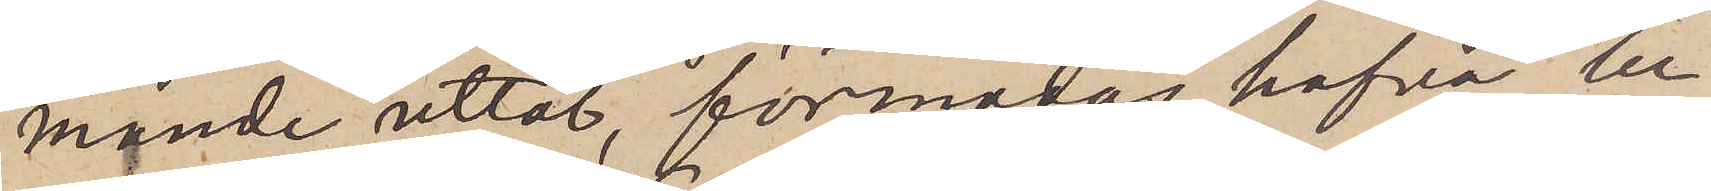mande uttal, förmodas hafva be¬
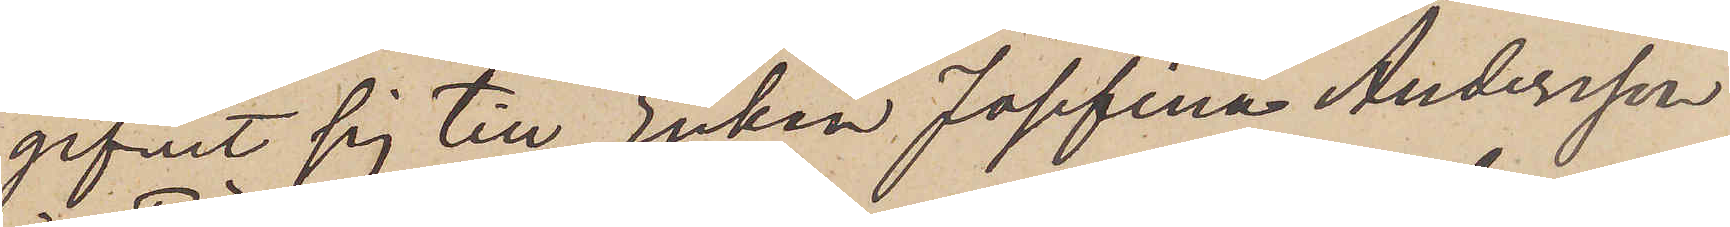gifvit sig till Enkan Josefina Andersson
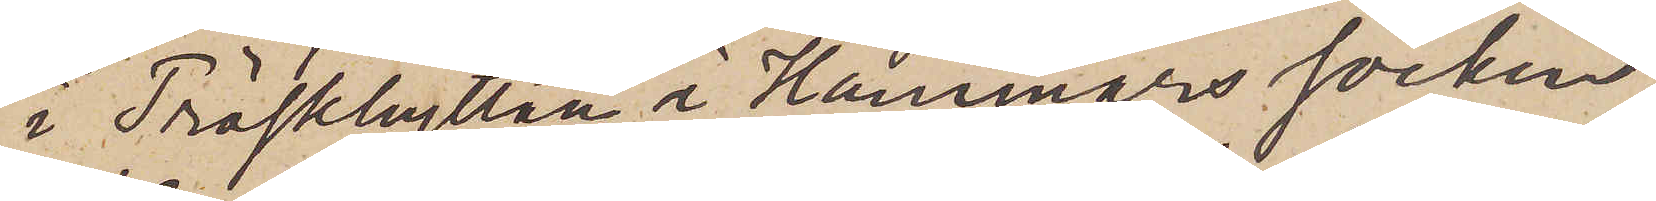i Tröskhyttan i Hammars socken.
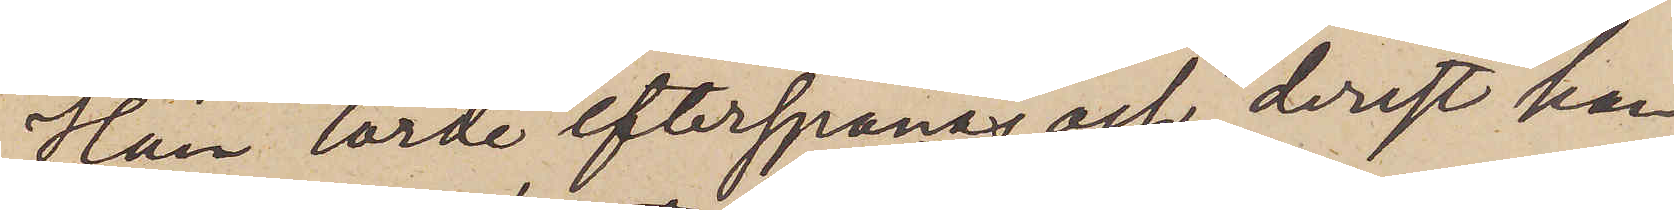Han torde efterspanas och, derest han
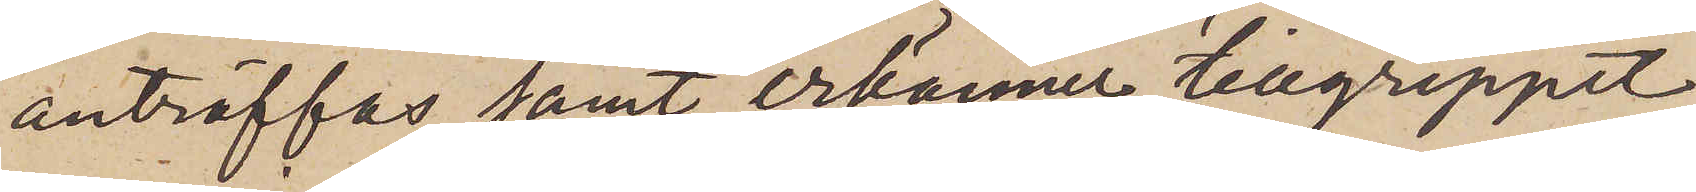anträffas samt erkännet tillgreppet
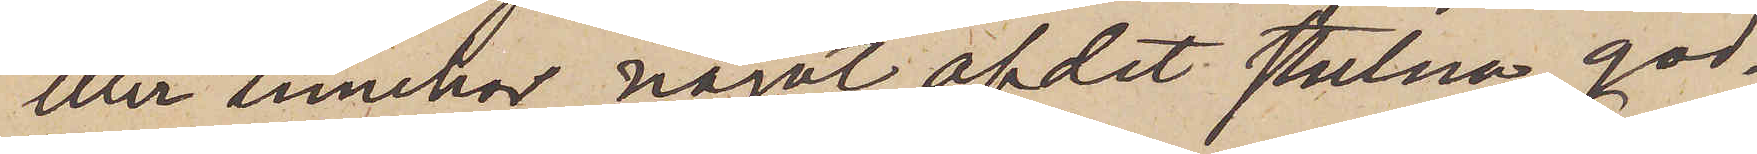eller innehar något af det stulna god¬
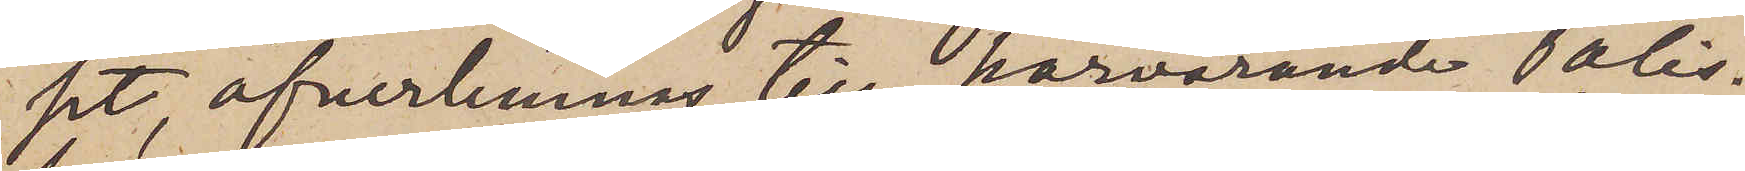set, öfverlemnas till härvarande Polis¬
